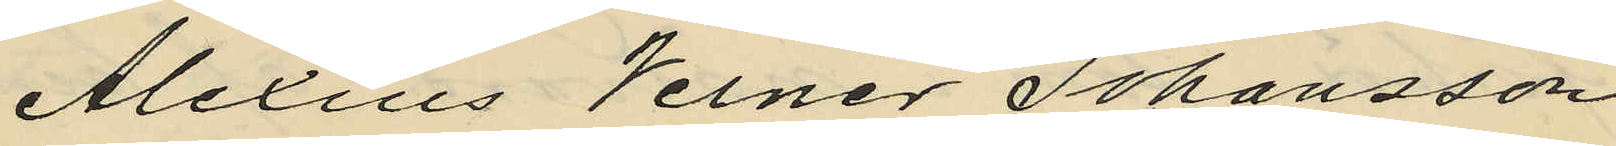Alexius Vener Johansson
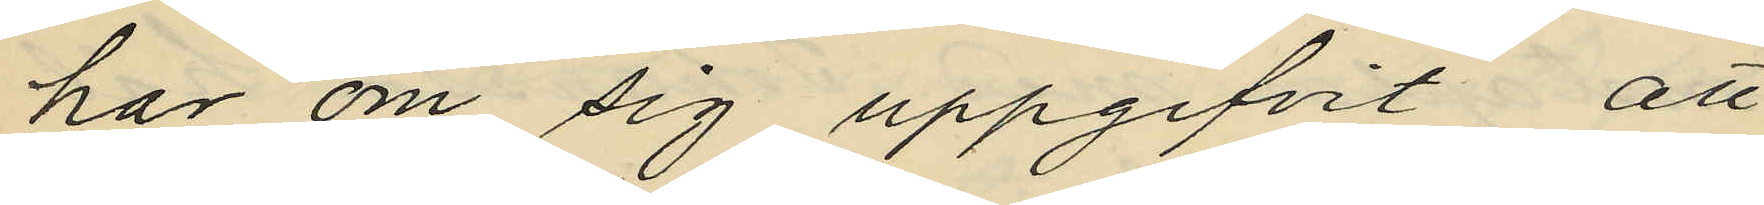har om sig uppgifvit, att
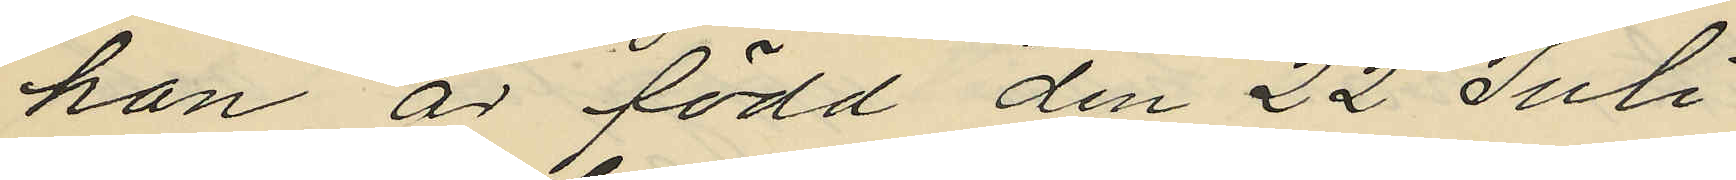han är född den 22 Juli
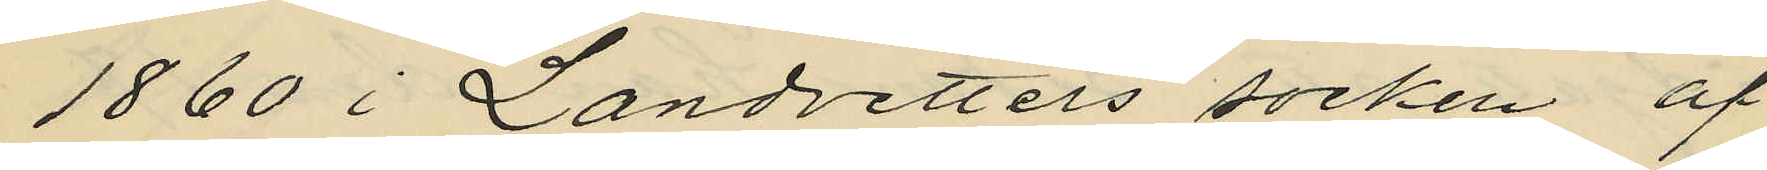1860 i Landvetters socken af
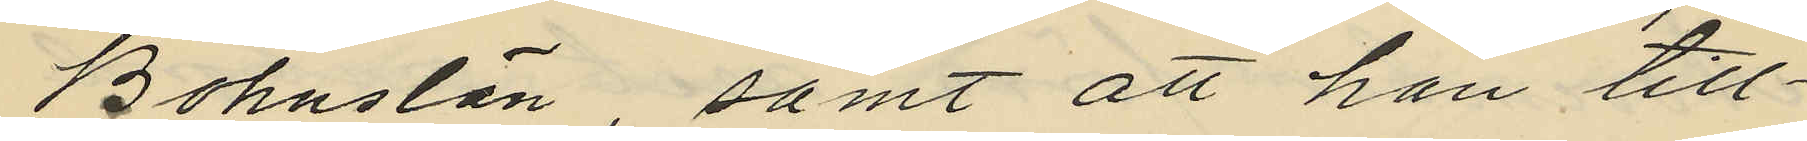Bohuslän, samt att han till¬
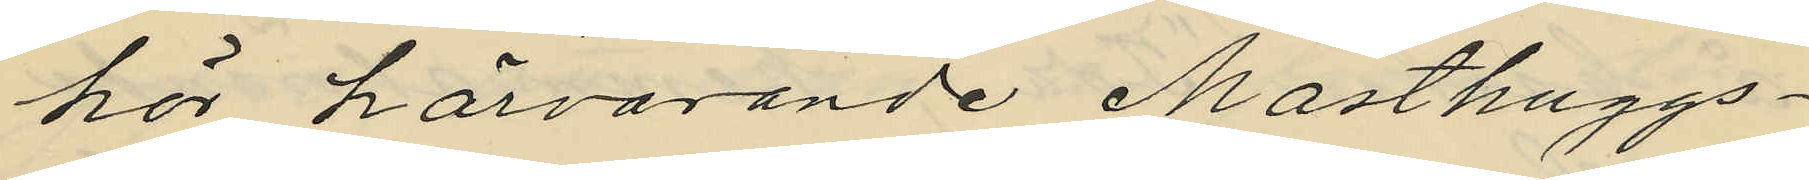hör härvarande Masthuggs¬
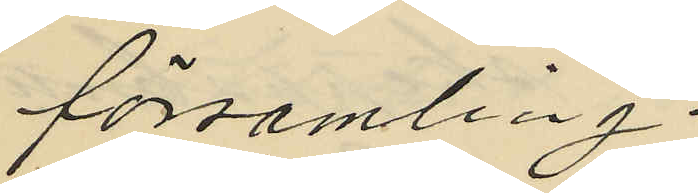församling.
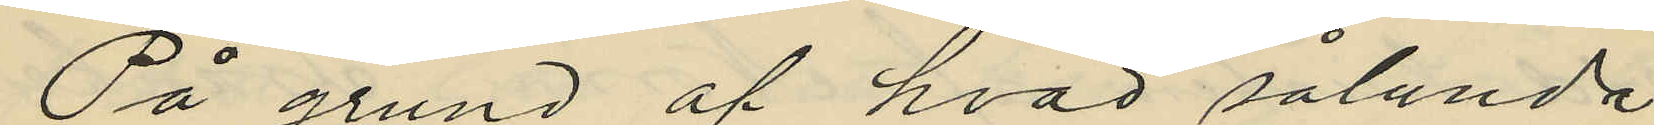På grund af hvad sålunda
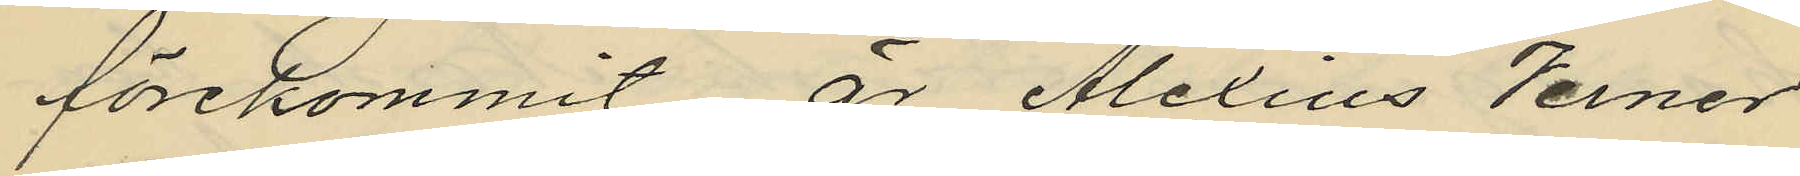förekommit, är Alexius Verner
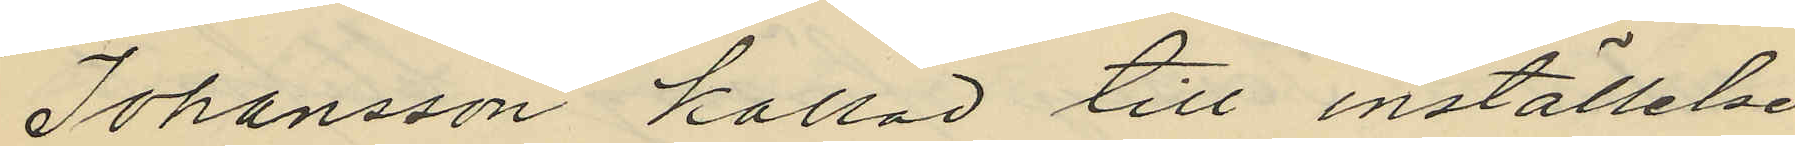Johansson kallad till inställelse
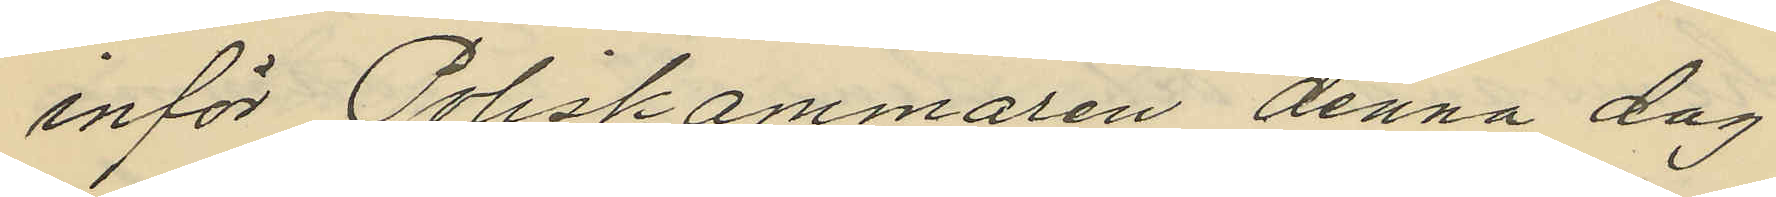inför Poliskammaren denna dag
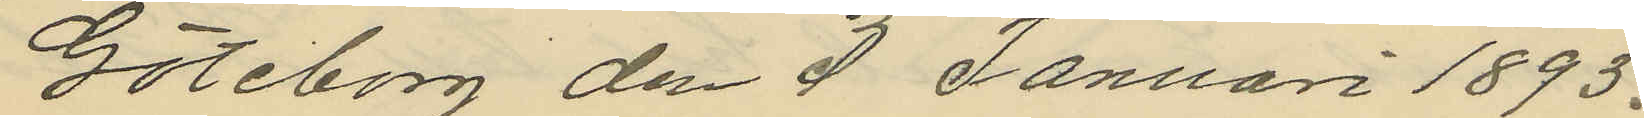Göteborg den 3 Januari 1893.
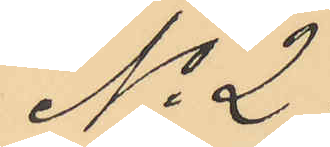No 2.
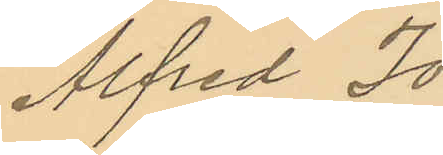Alfred Jo¬
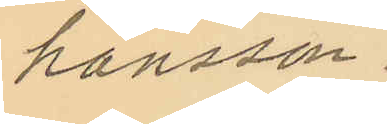hansson.
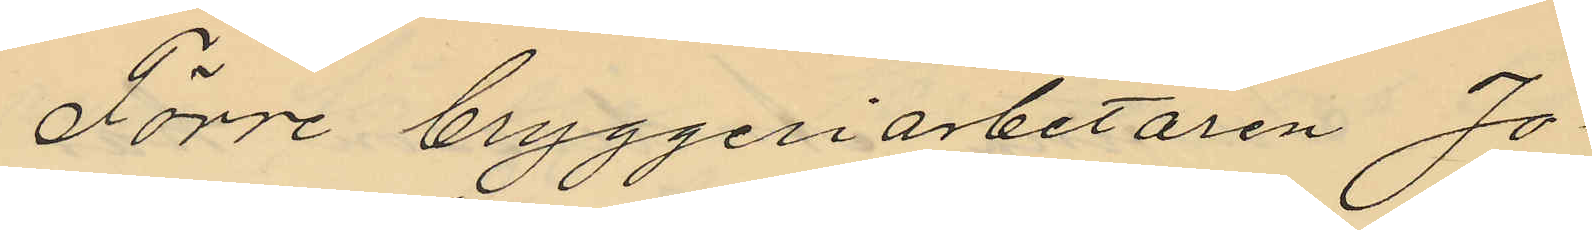Förre bryggeriarbetaren Jo¬
